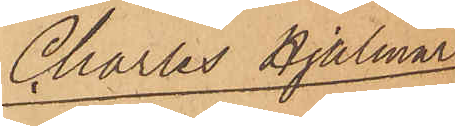Charles Hjalmar
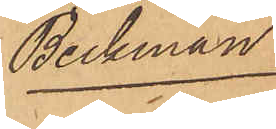Beckman.
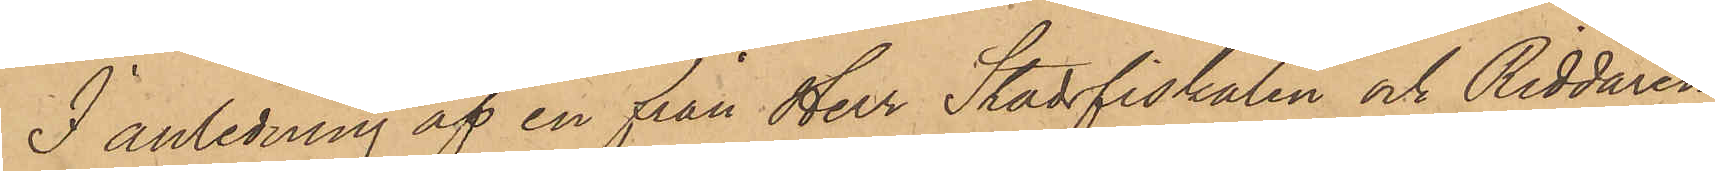I anledning af en från Herr Stadsfiskalen och Riddaren
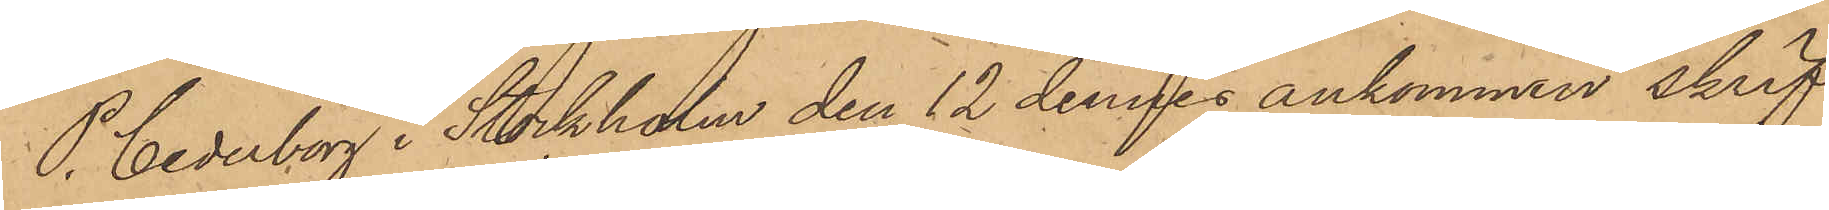P. Cederborg i Stockholm den 12 dennes ankommen skrif¬
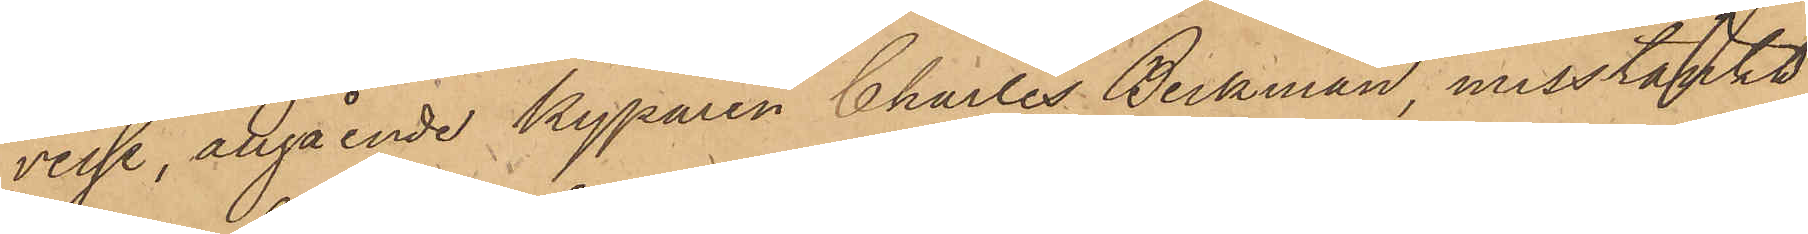velse, angående kyparen Charles Beckman, misstänkt
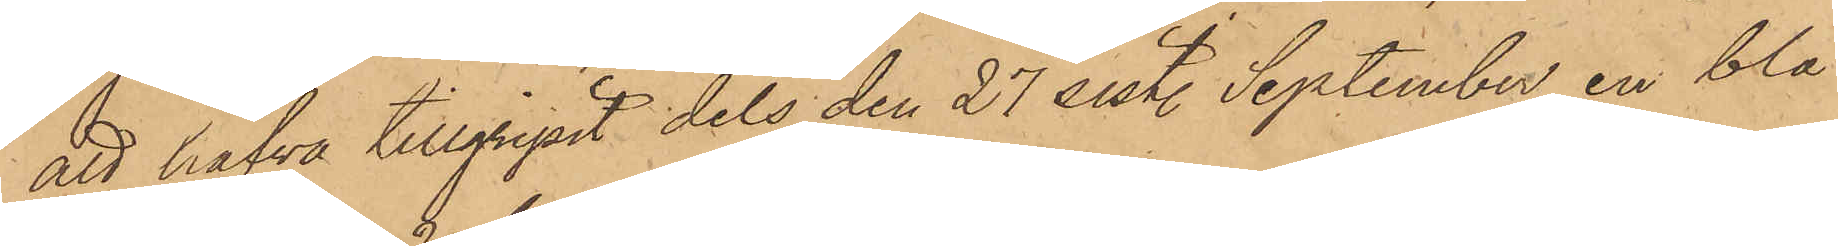att hafva tillgripit dels den 27 sist. September en blå
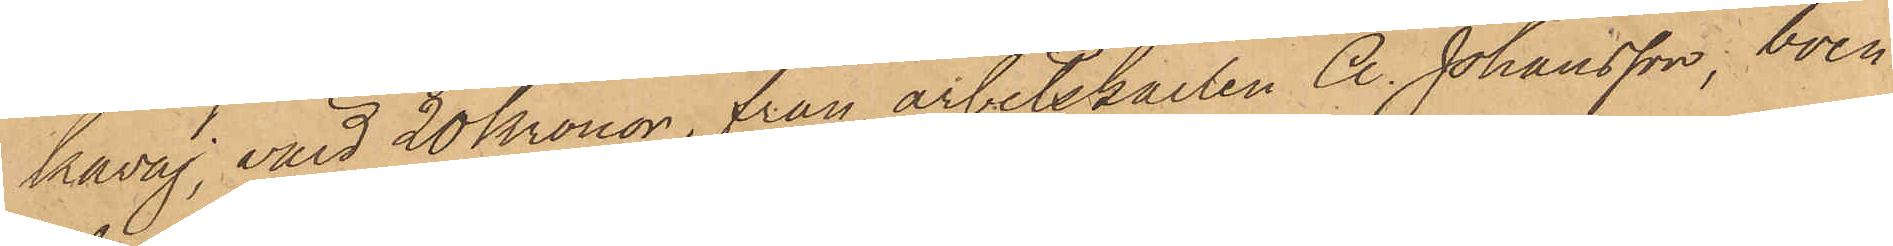kavaj, värd 20 Kronor, från arbetskarlen A. Johansson, boen¬
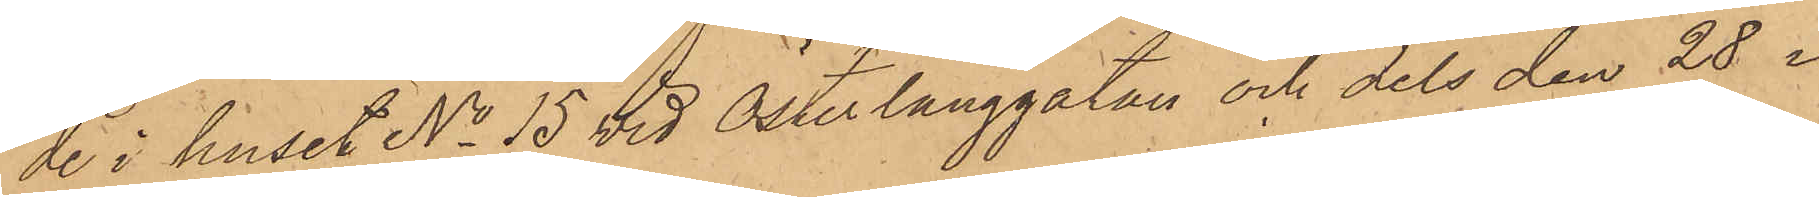de i huset No 15 vid Österlånggatan och dels den 28 i
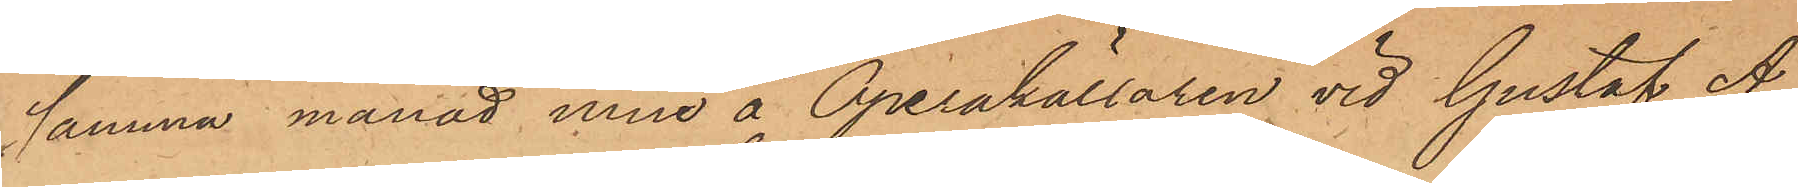samma månad inne å Operakällaren vid Gustaf A¬
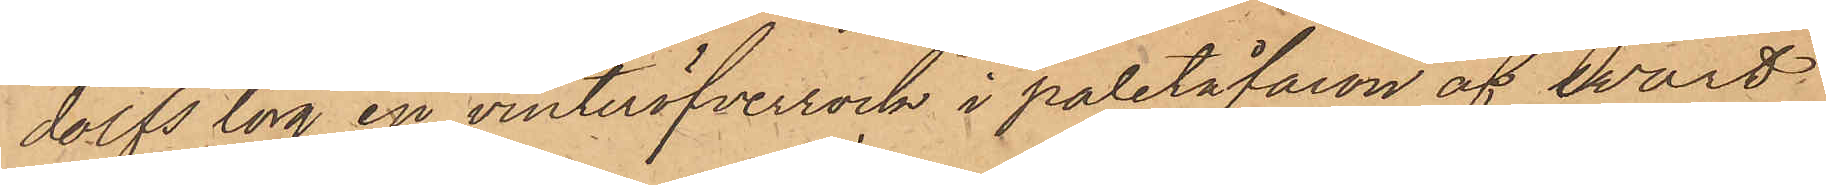dolfs torg en vinteröfverrock i paletåfacon af svart
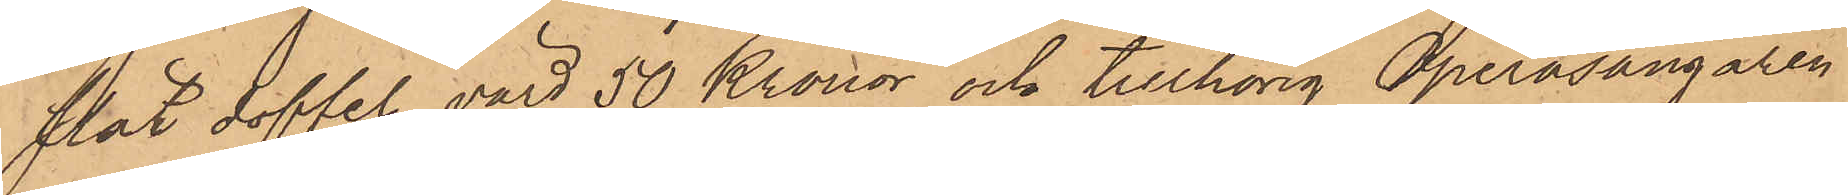slät doffel, värd 50 Kronor och tillhörig Operasångaren
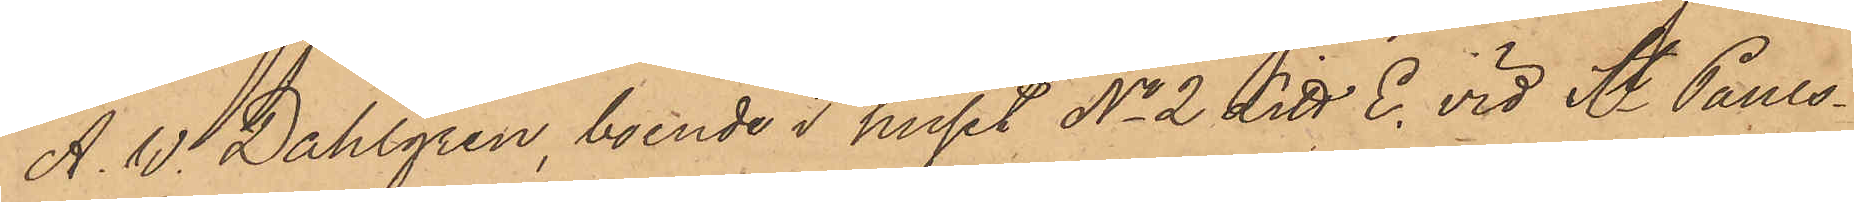A. W. Dahlgren, boende i huset No 2 Litt. E. vid St. Pauls¬
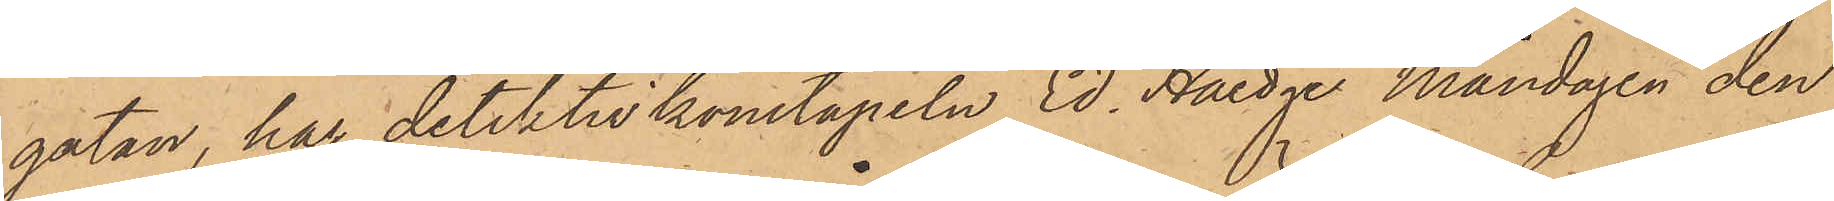gatan, har detektivkonstapeln Ed. Haedge Måndagen den
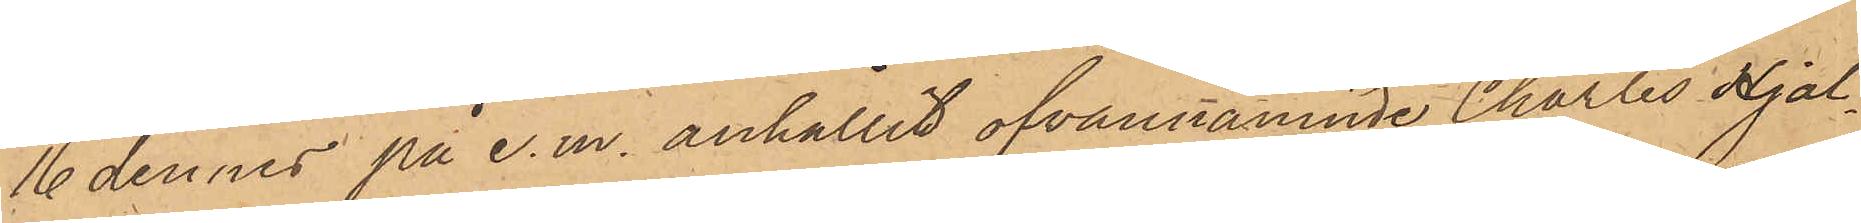16 dennes på e. m. anhållit ofvannämnde Charles Hjal¬
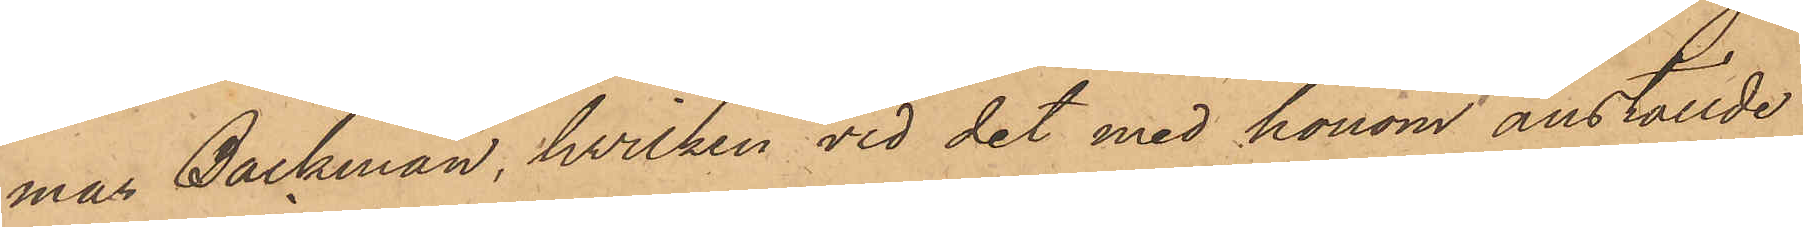mas Beckman, hvilken vid det med honom anställde
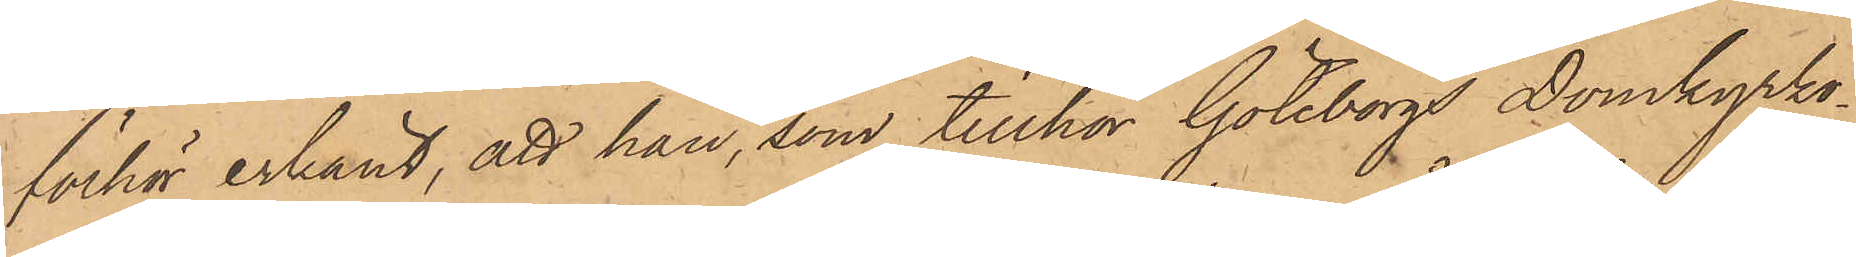förhör erkänt, att han, som tillhör Göteborgs Domkyrko¬
